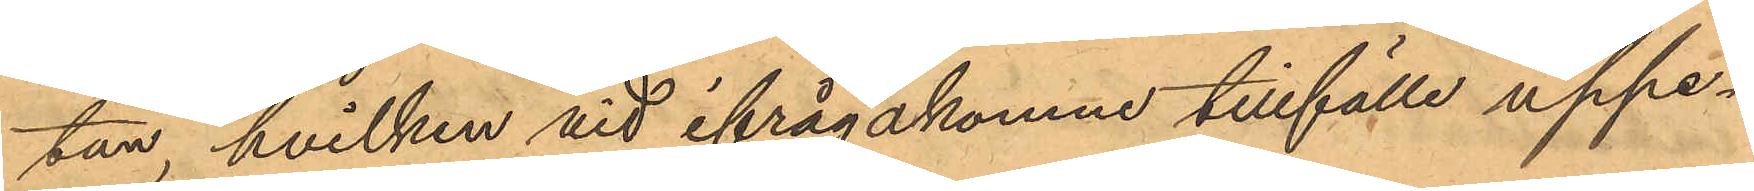tan, hvilken vid ifrågakomne tillfälle uppe¬
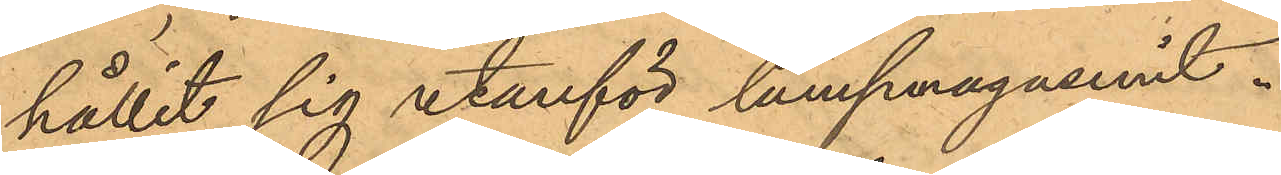hållit sig utanför lumpmagasinet.
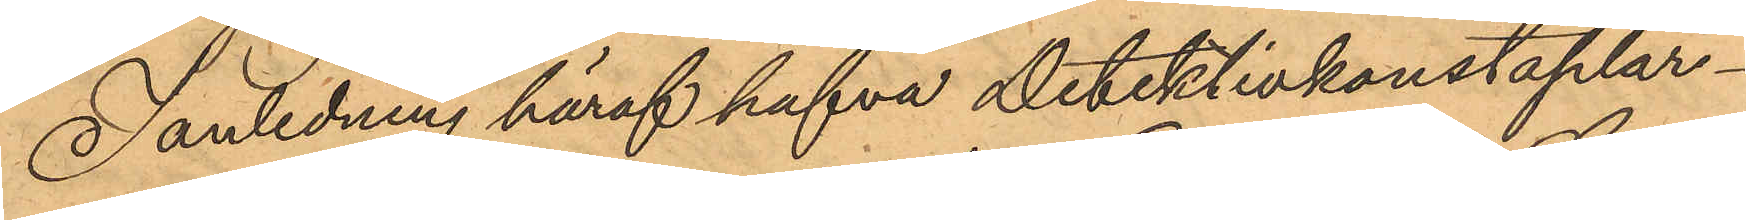I anledning häraf hafva Detektivkonstaplar¬
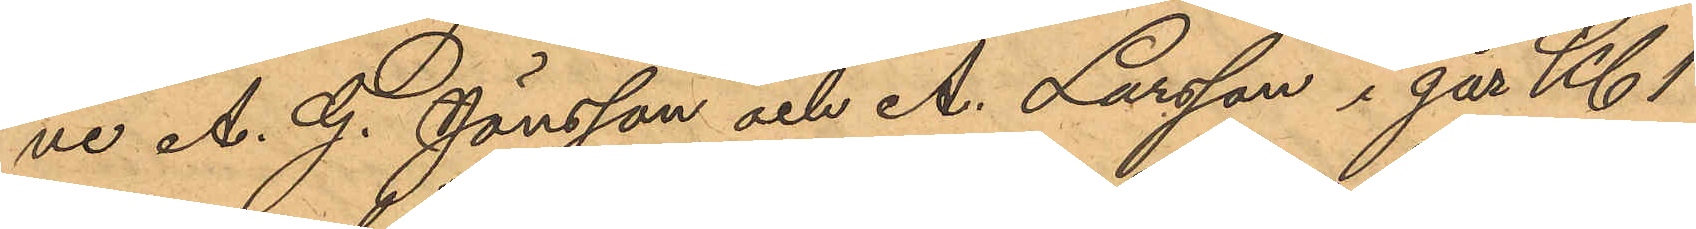ne A. G. Jönsson och A. Larsson i går Kl. 1
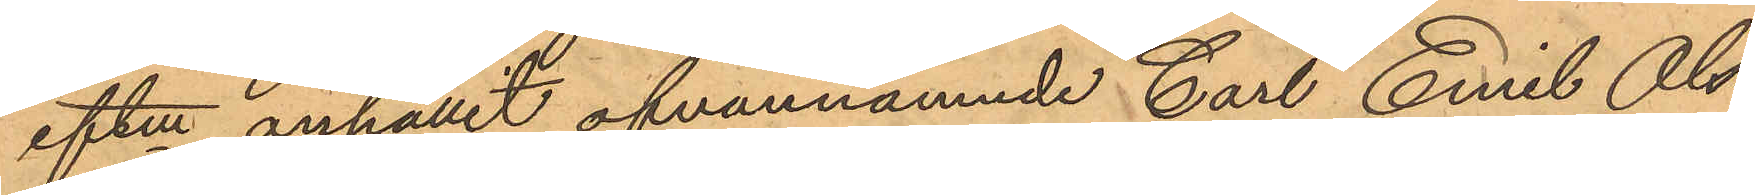eftm anhållit ofvannämnde Carl Emil Ols¬
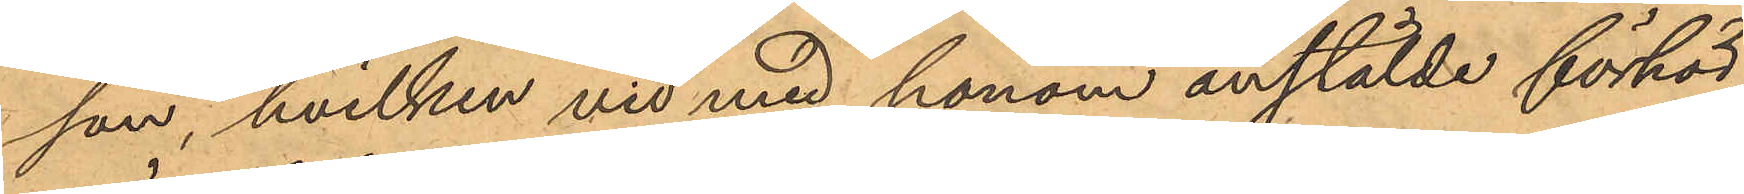son, hvilken vid med honom anstälde förhör
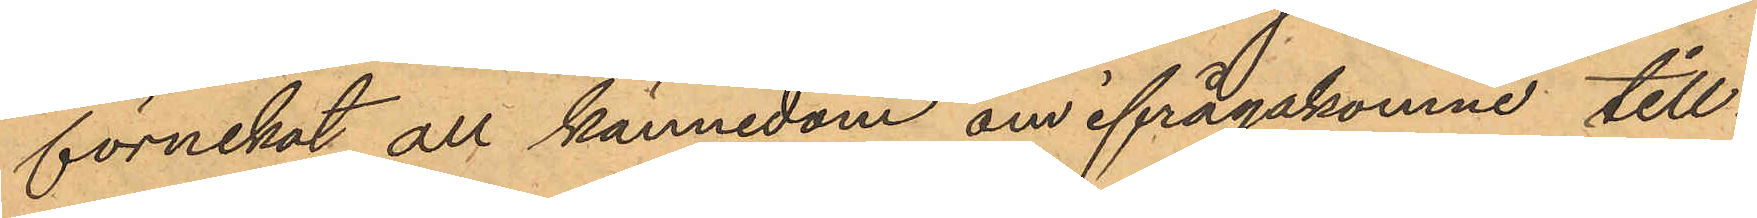förnekat all kännedom om ifrågakomne till¬
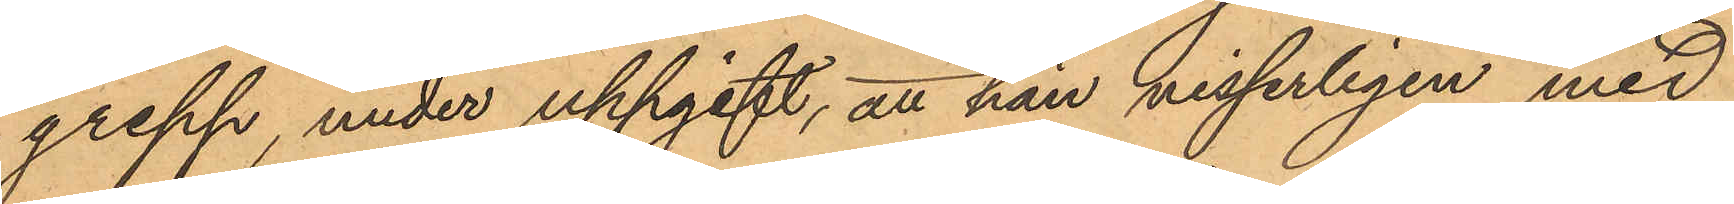grepp, under uppgift, att han visserligen med
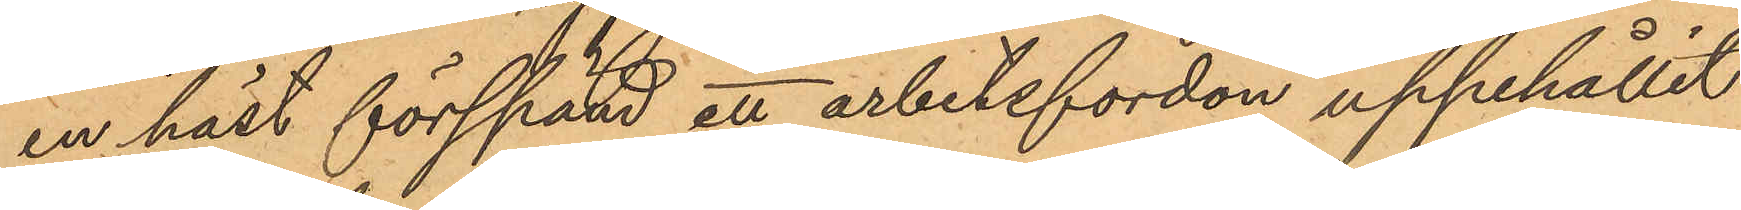en häst förspänd ett arbetsfordon uppehållit
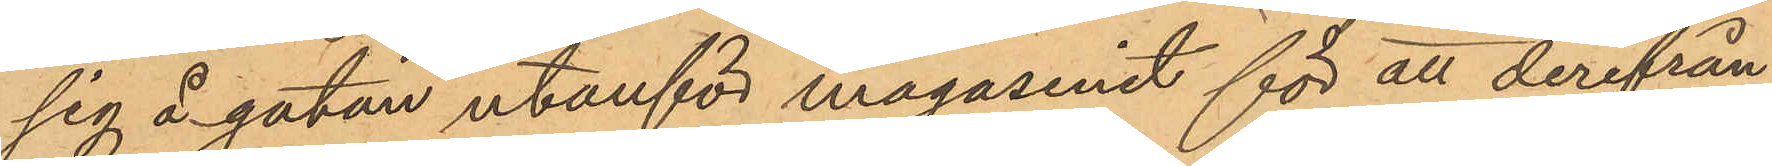sig å gatan utanför magasinet för att derifrån
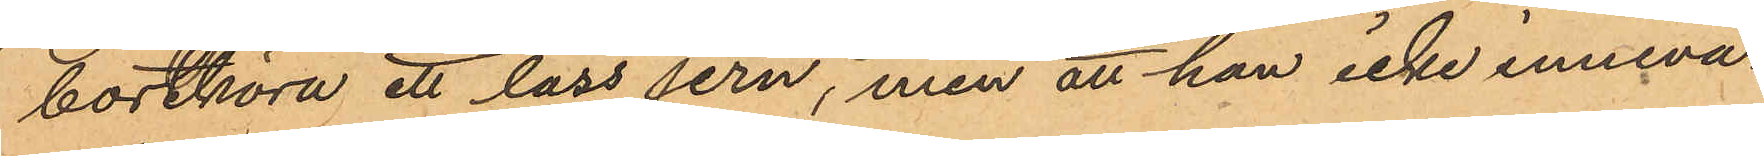borthöra ett lass jern, men att han icke inneva¬
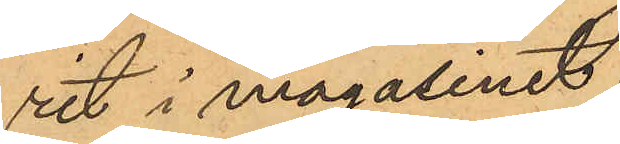rit i magasinet.
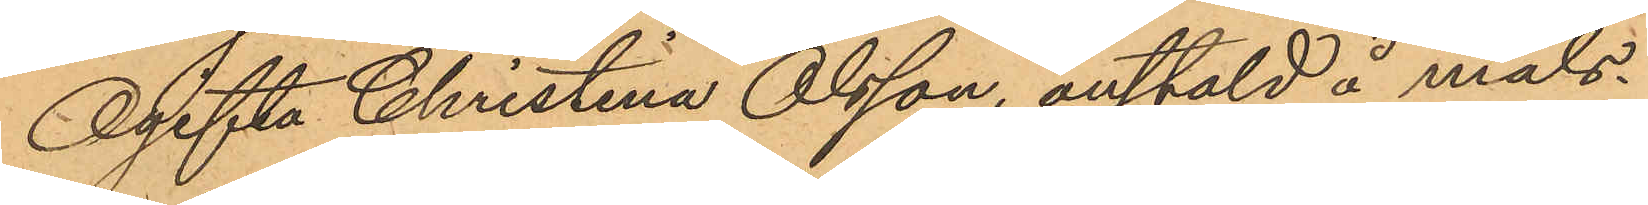Ogifta Christina Olsson, anstäld å måls¬
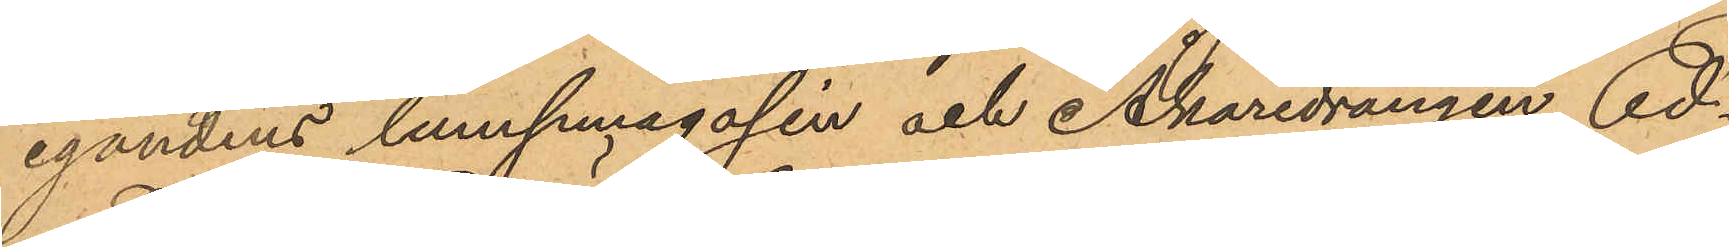egandens lumpmagasin och Åkaredrängen Ed¬
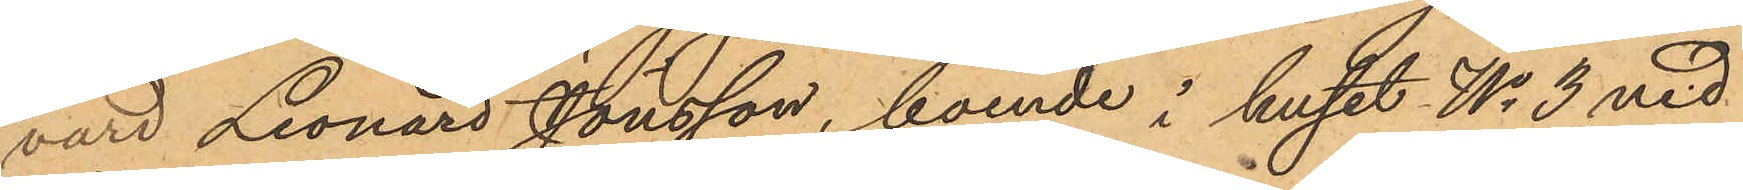vard Leonard Jönsson, boende i huset No 3 vid
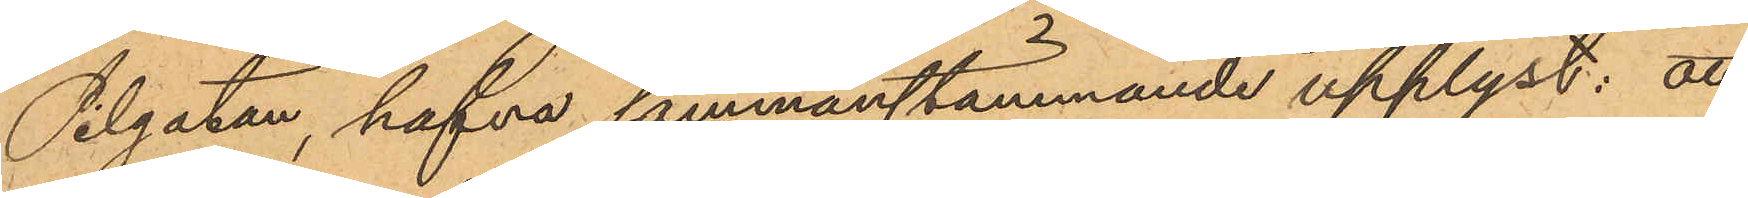Pilgatan, hafva sammanstämmande upplyst: att
